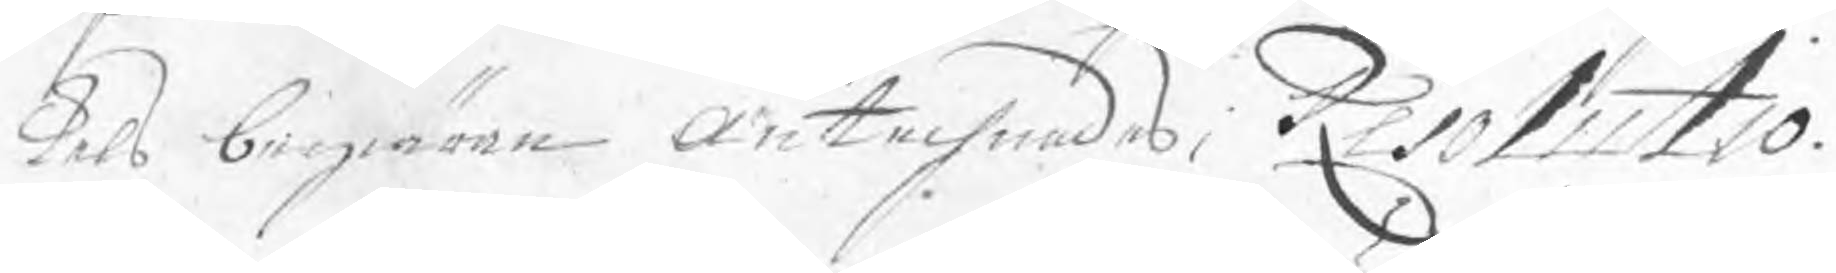kels begiäran Antechnades; Resolutio.
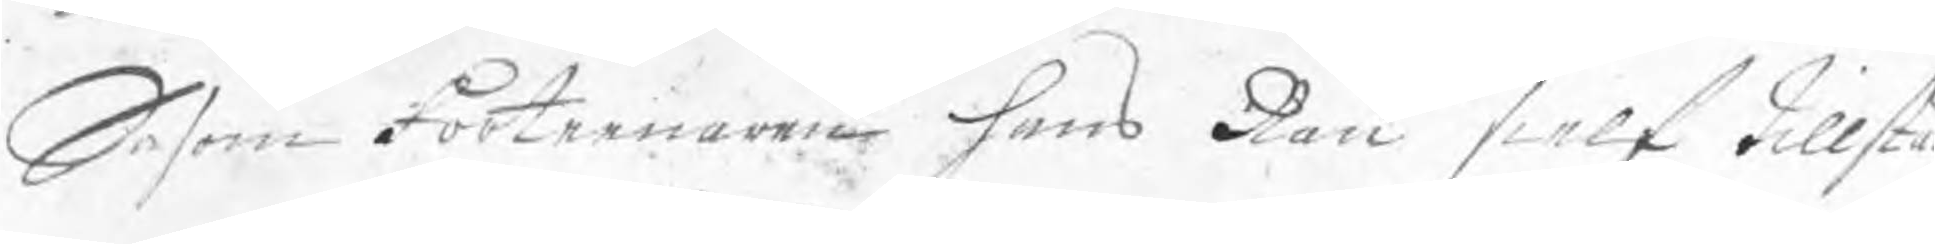Såsom Förtennare Hans Rau sielf tillstå
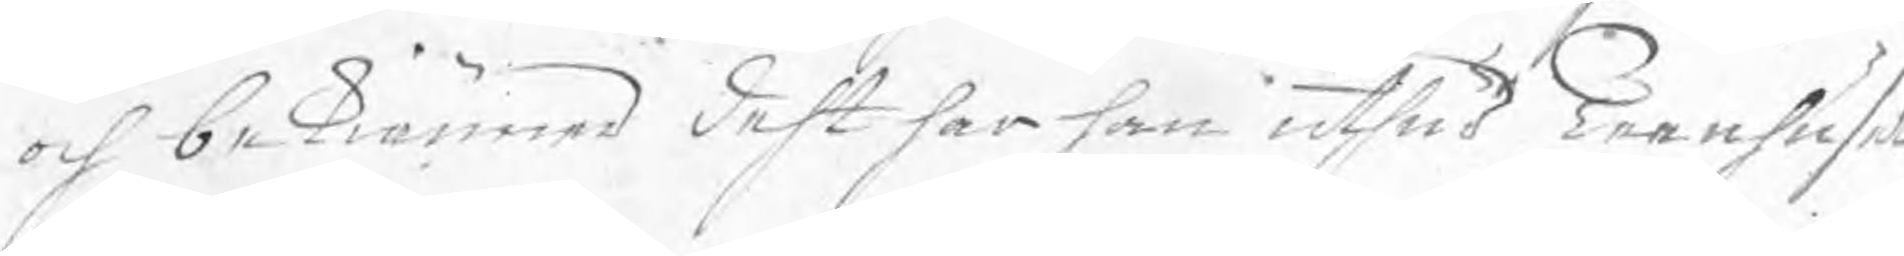och bekiänner deht har han uthur Teenhuset
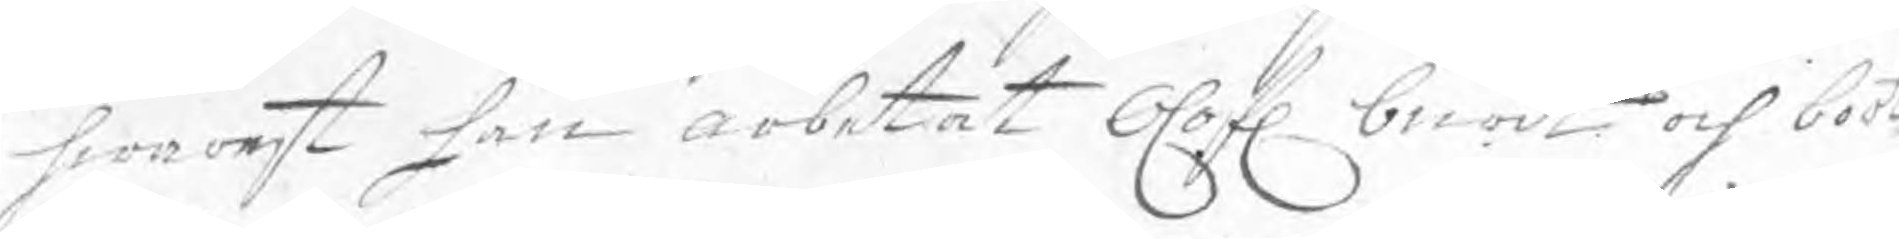hwarest han arbetat Olofl. burit och bort
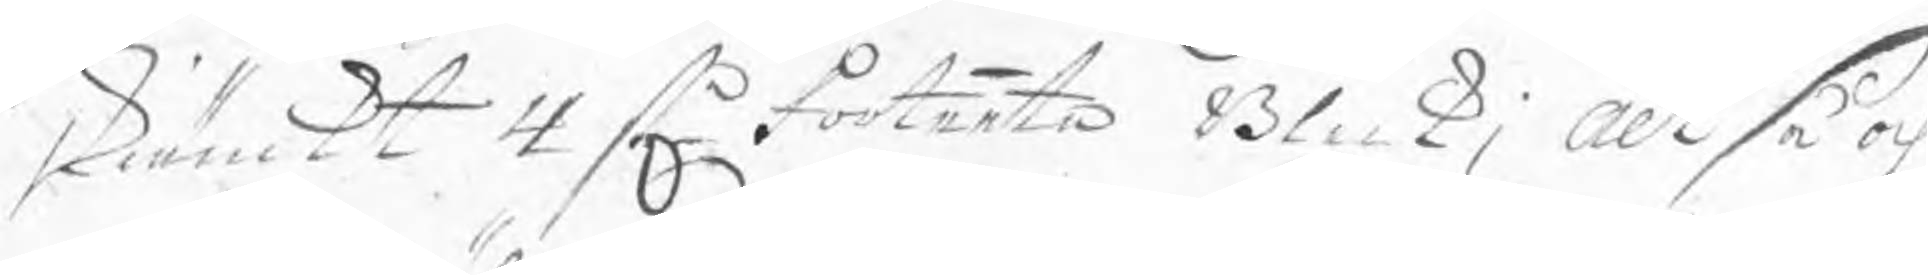skiänckt 4 stn Förtente Bleck; Altså och
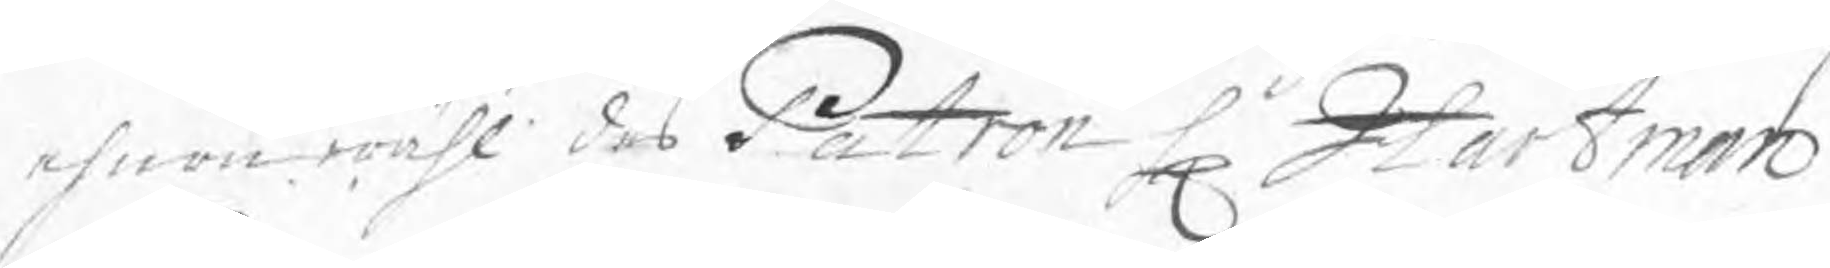ehuru wähl des Patron Hr Hartman
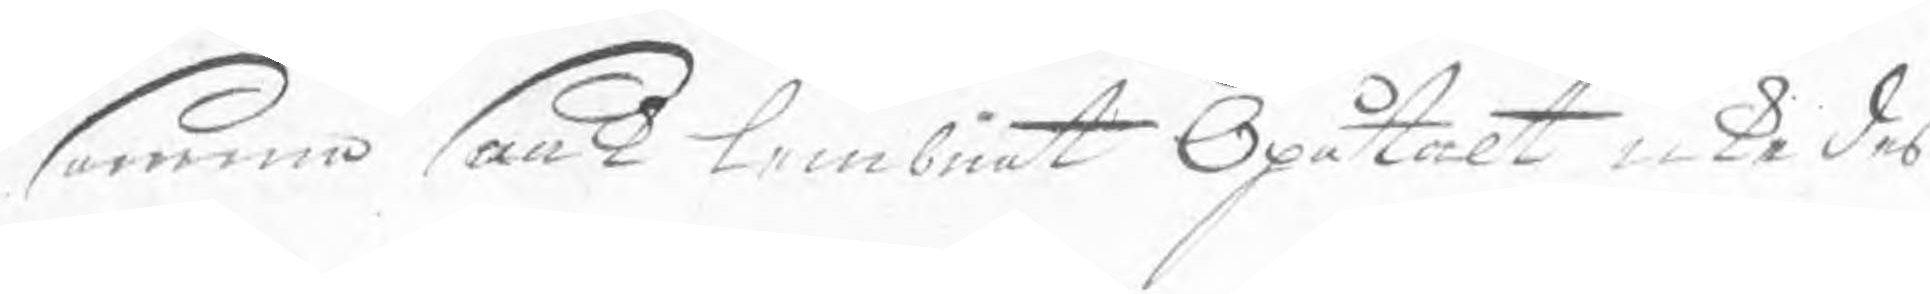samma saak lembnat Opåtalt icke deß
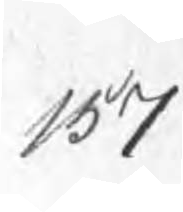157
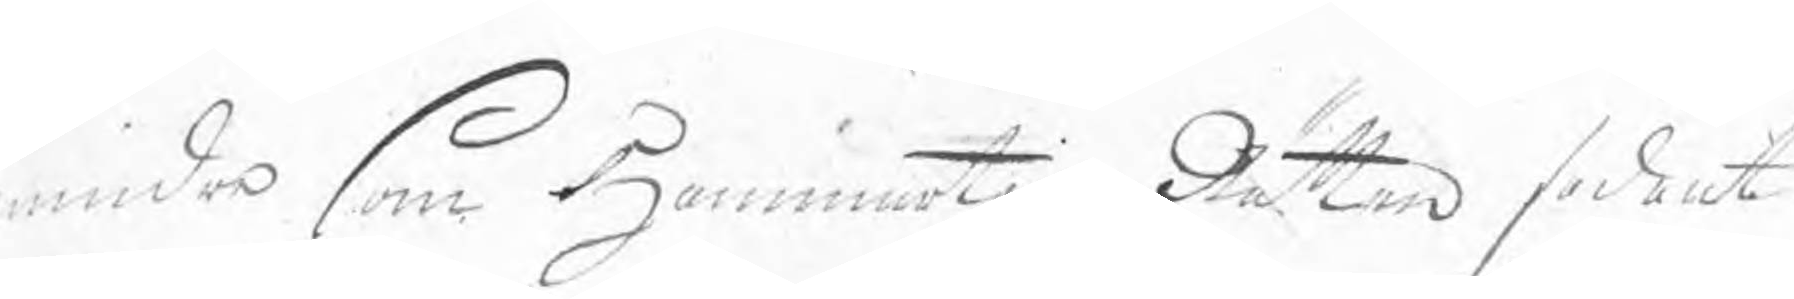mindre som HammartingzRätten sådant
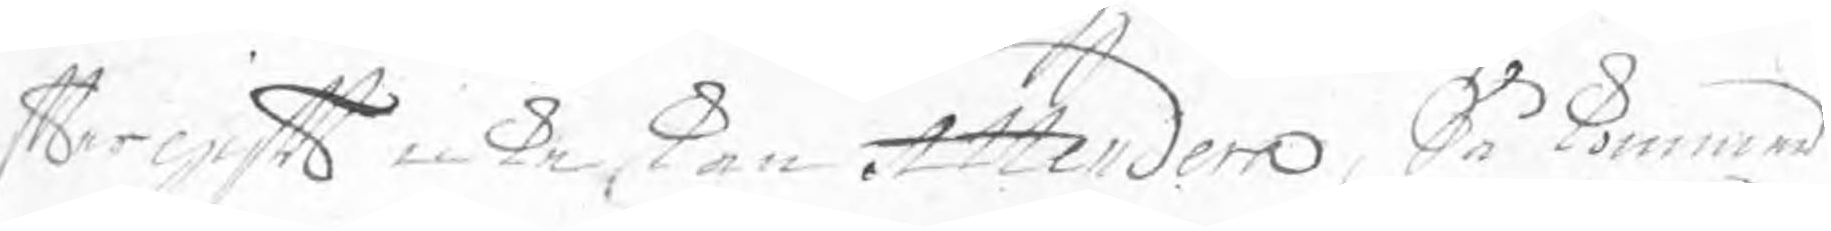ftergift neka, kan Attendera, Så kommer
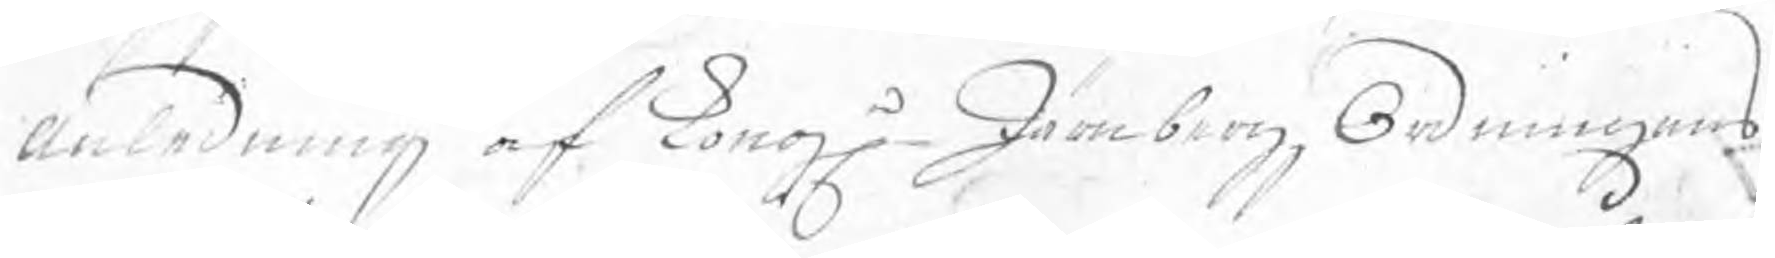i anledning af Kong. JärnbergzOrdningens
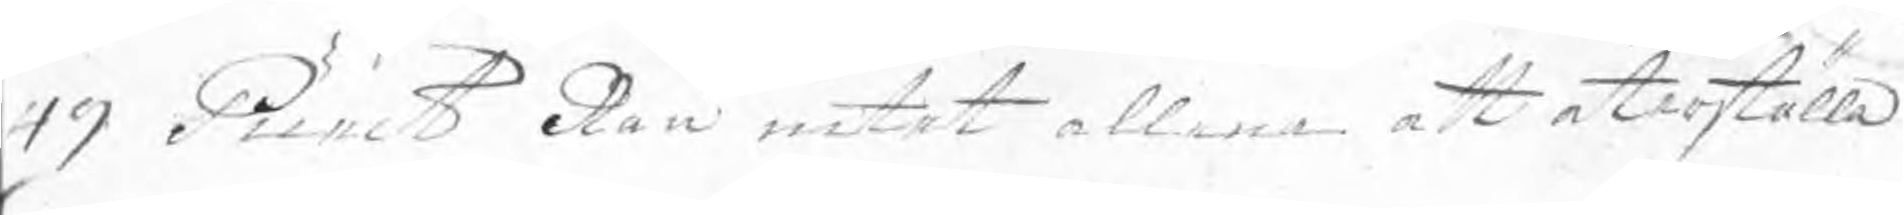49 Punct Rau intet allena att återställa
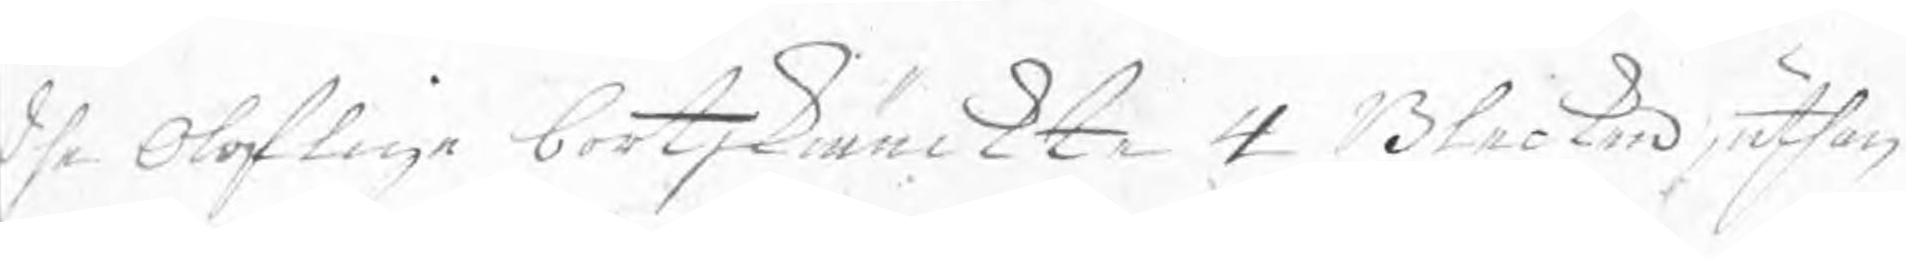dhe Oloflige bortskiänckte 4 Blecken, uthan
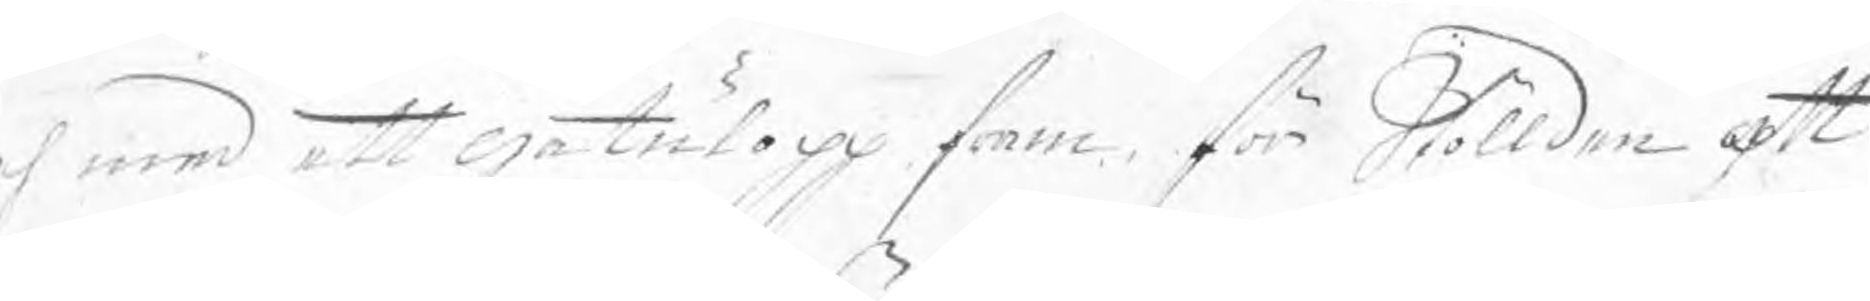ch med ett gatulopp som för Stöllden att
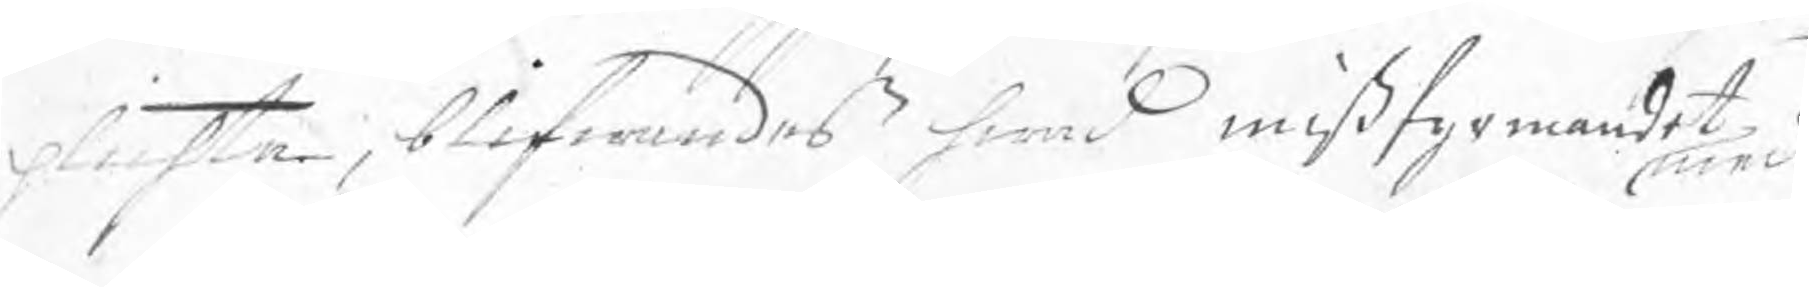plichta, blifwandes hwad mißfyrmanet med
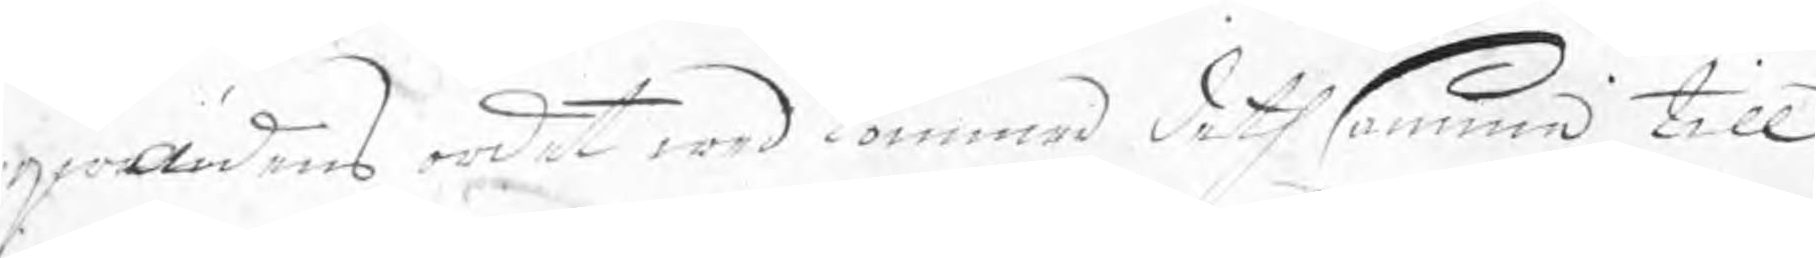qwädens ordet wedkommer deth samma till
